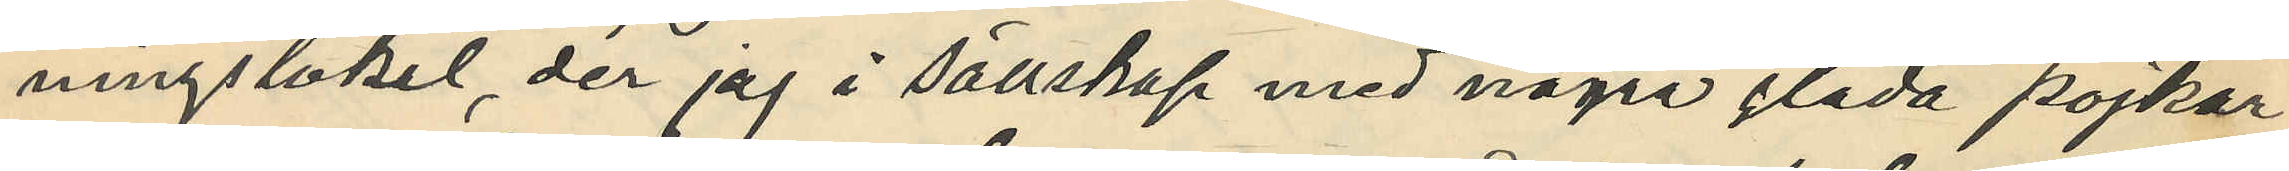ningslokal, der jag i sällskap med några glada pojkar
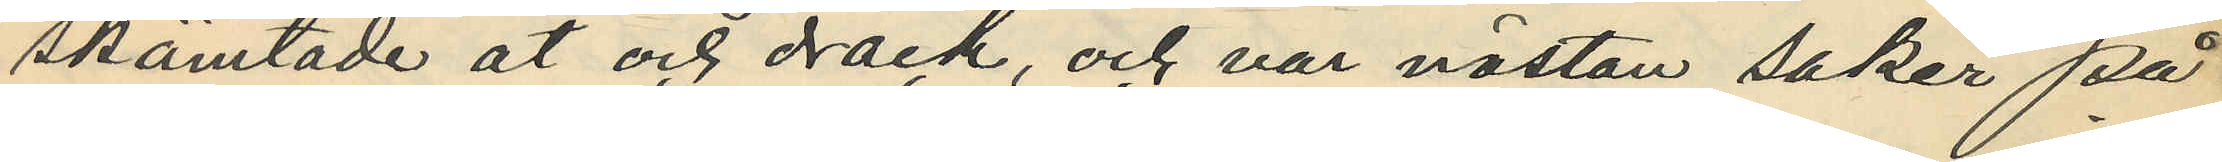skämtade åt och drack, och var nästan saker på
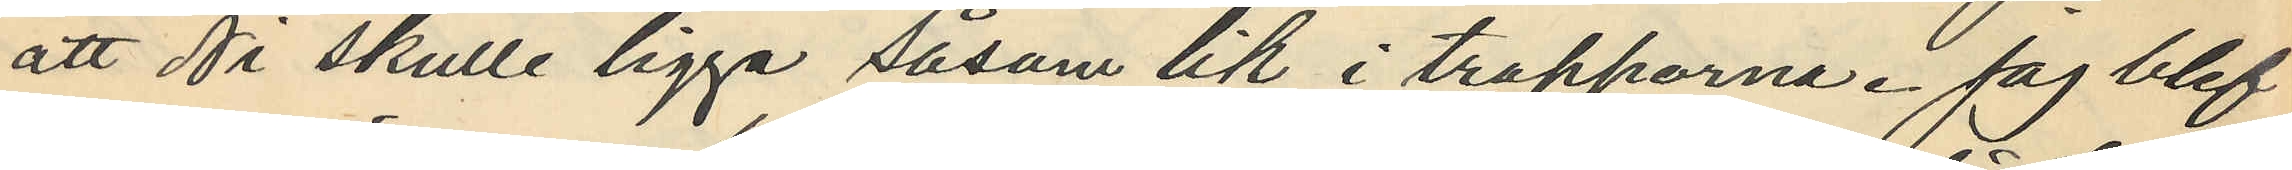att Ni skulle ligga såsom lik i trapporna.  Jag blef
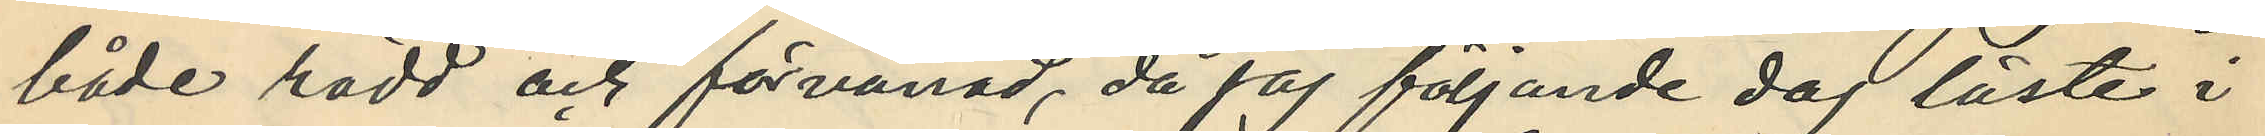både rädd och förvånad, då jag följande dag läste i
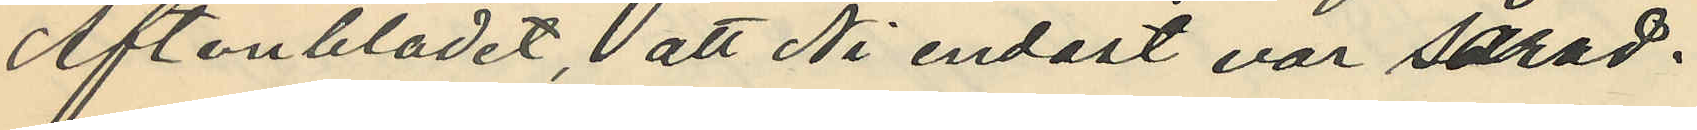Aftonbladet, att Ni endast var sårad.
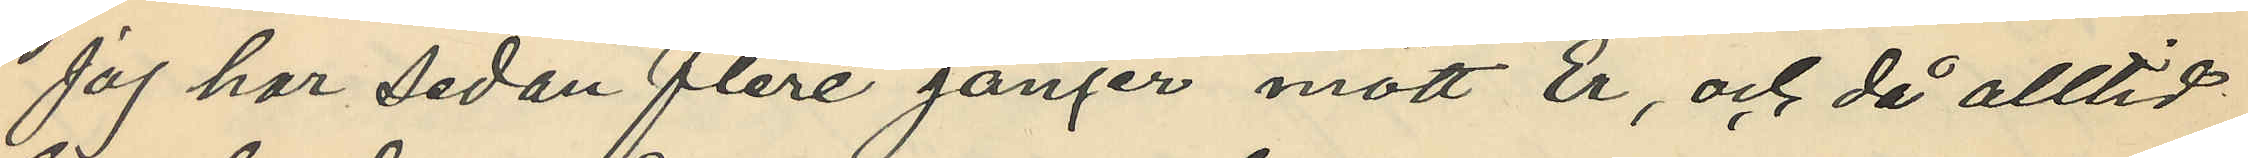Jag har sedan flere gånger mött Er, och då alltid
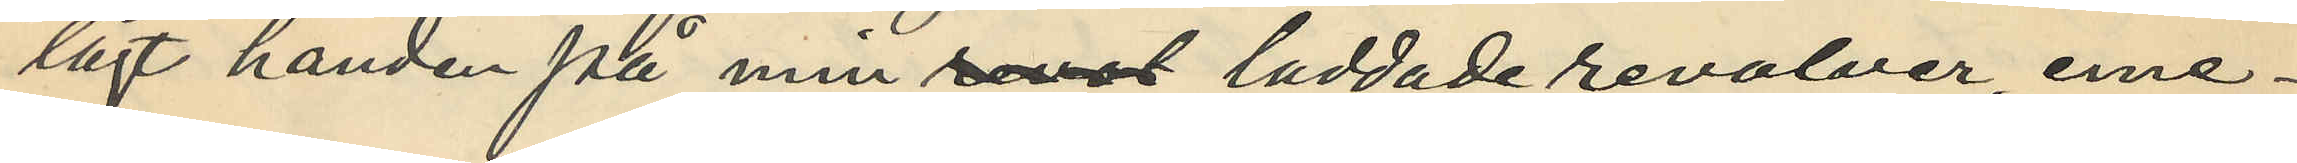lagt handen på min revol laddade revolver, eme¬
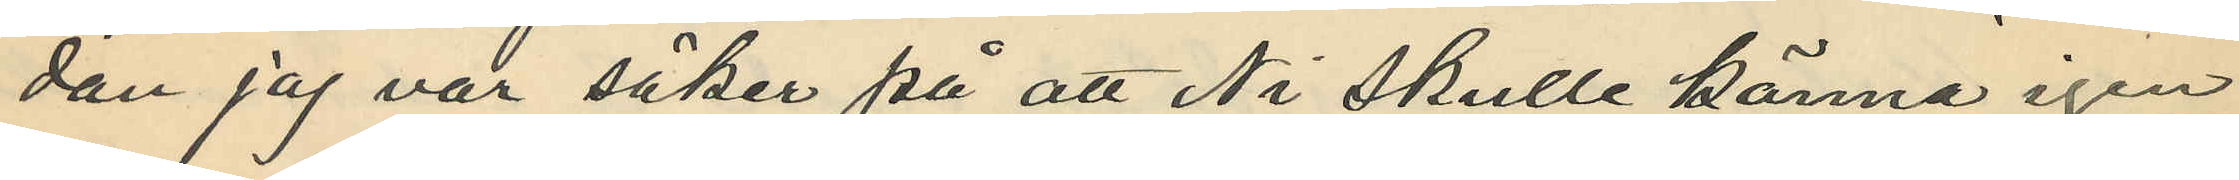dan jag var säker på att Ni skulle känna igen
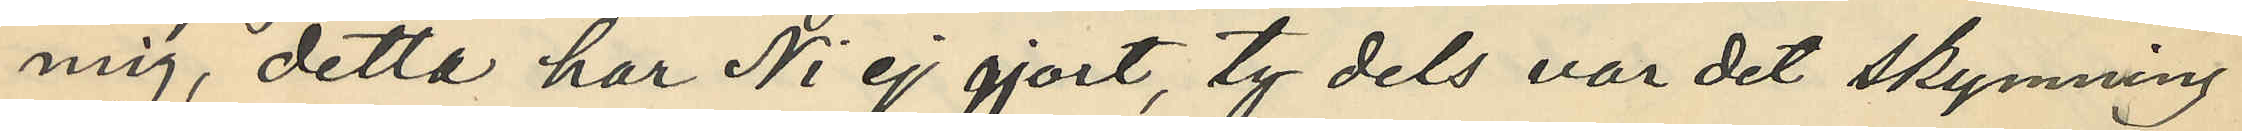mig, detta har Ni ej gjort, ty dels var det skymning
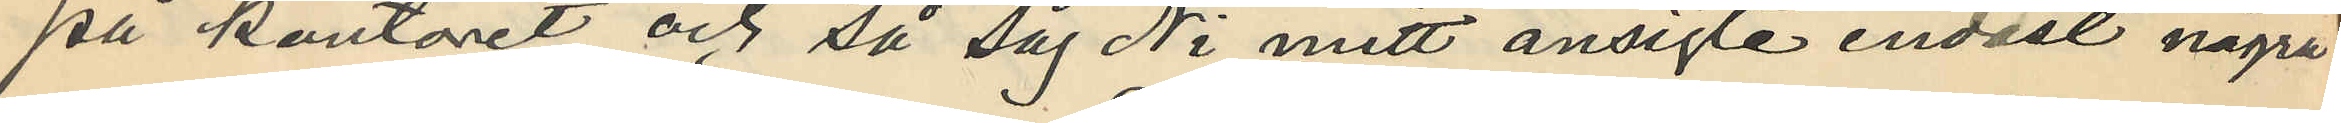på kontoret och så såg Ni mitt ansigte endast några
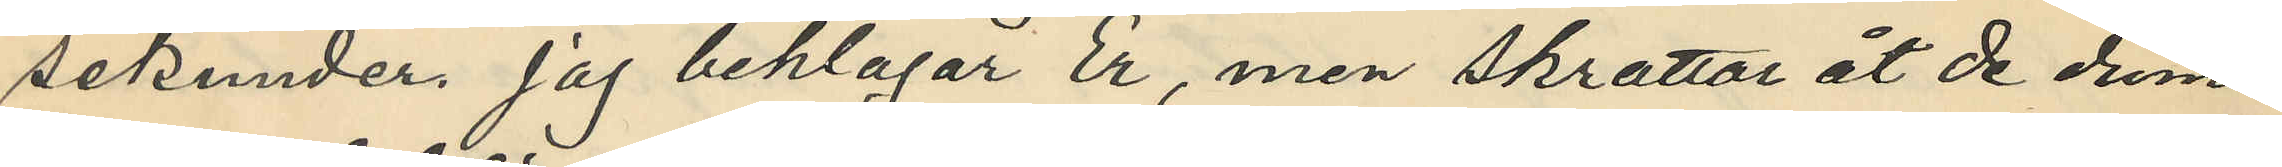sekunder. Jag beklagar Er, men skrattar åt de dum¬
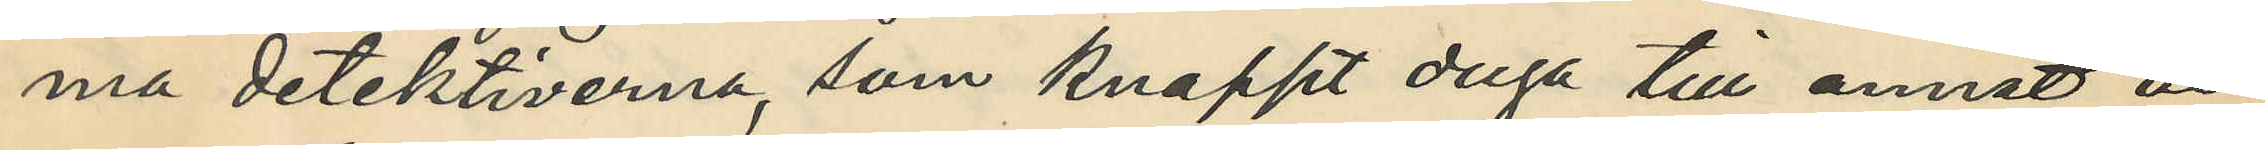ma detektiverna, som knappt duga till annat än
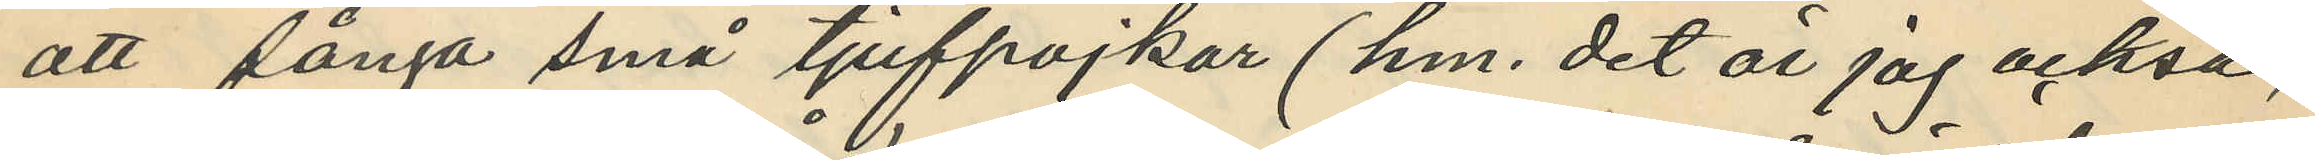att fånga små tjufpojkar (hm. det är jag också,
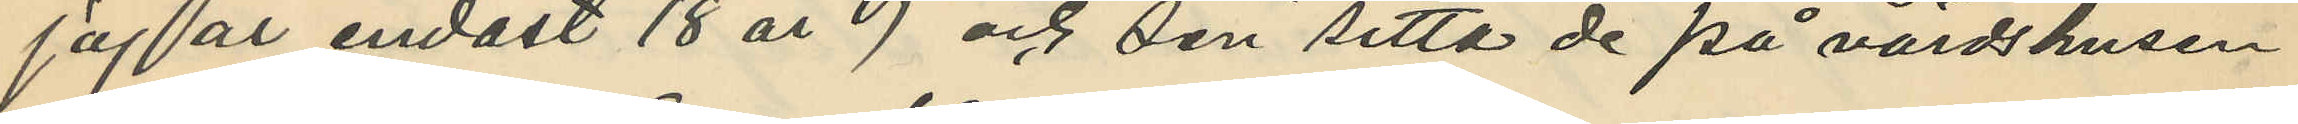jag är endast 18 år) och sen sitta de på värdshusen
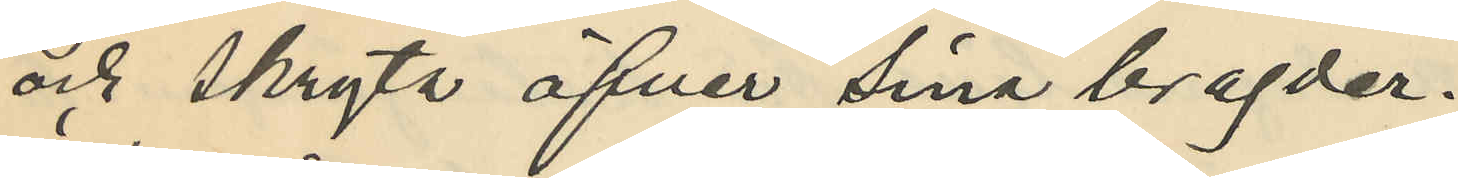och skryta öfver sina bragder.
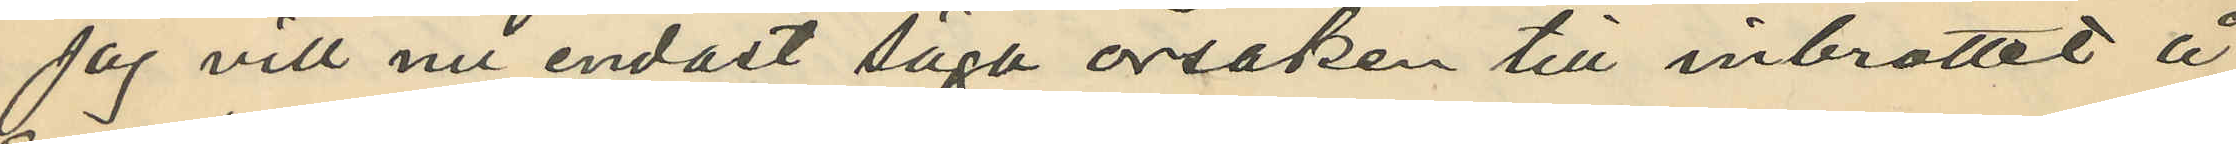Jag vill nu endast säga orsaken till inbrottet å
